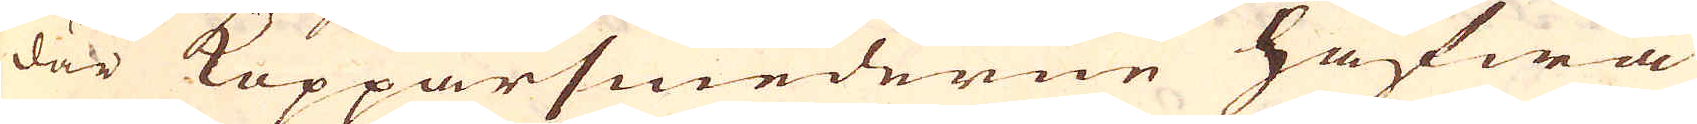där Kopparsmederne hafwa
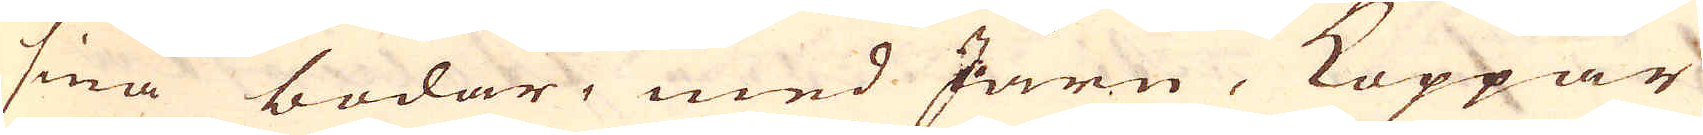sina bodar, med Järn, Koppar
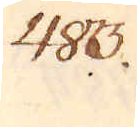483.
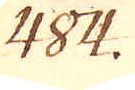484.
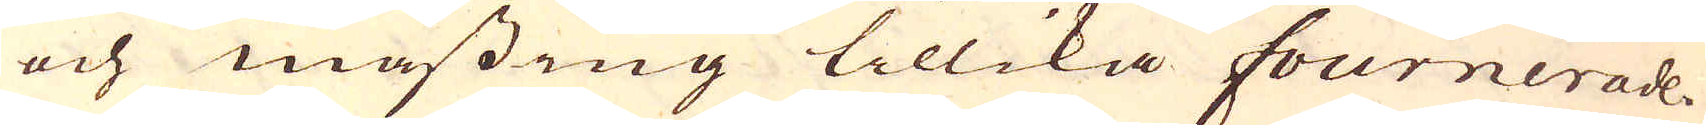och mässing tillika fournerade.
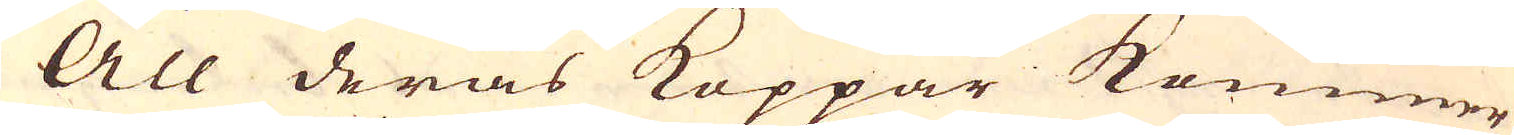All deras Koppar kommer
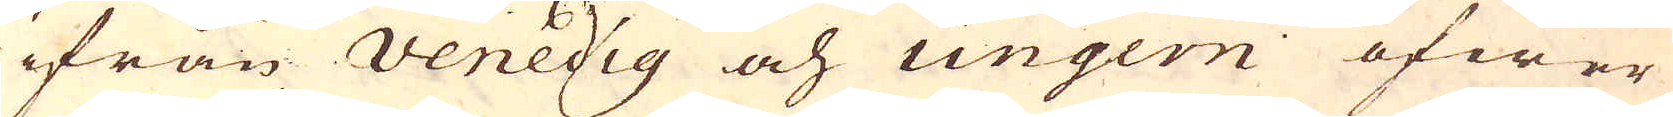ifrån Venedig och Ungern öfwer
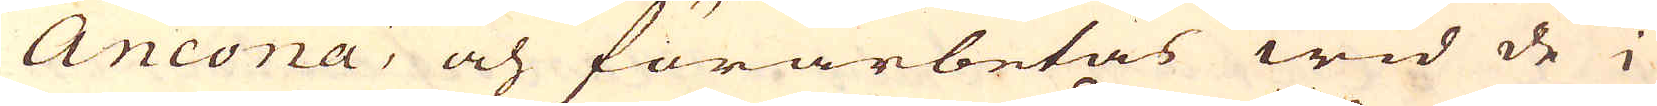Ancona, och förarbetas wid de i
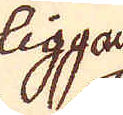liggan-
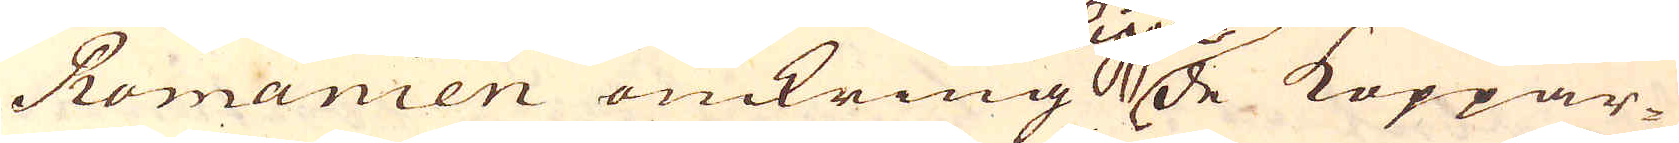Romanien omkring de Koppar-
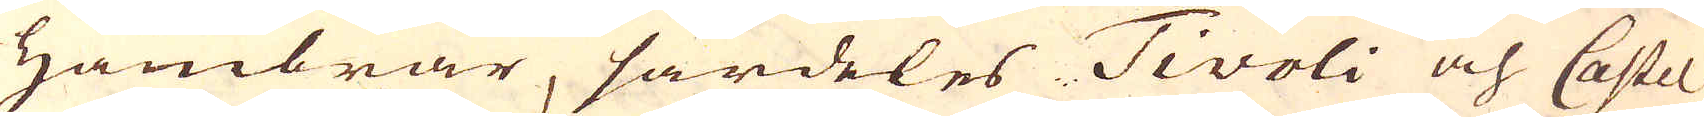Hambrar, särdeles Tivoli och Castel
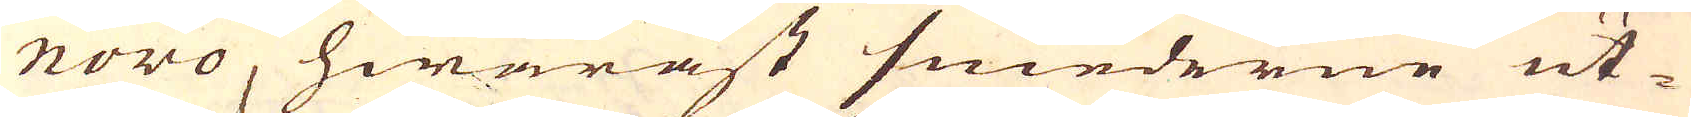novo, hwaräst smederne ut-
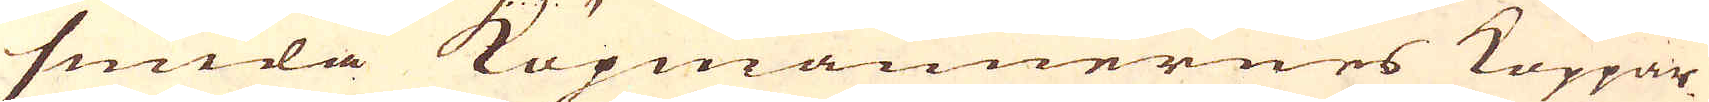smida Köpmännernes Koppar
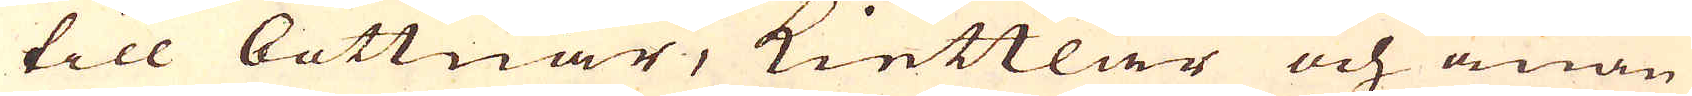till bottnar, kiettlar och anan
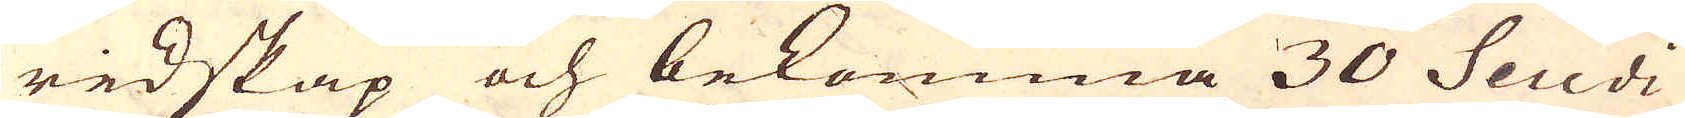redskap och bekomma 30 Scudi
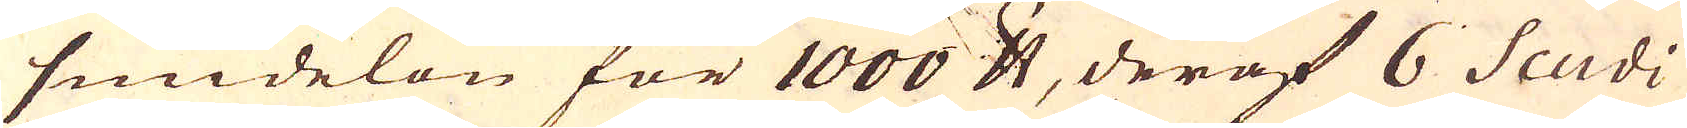smidelön för 1000 skålpund deraf 6 Scudi
